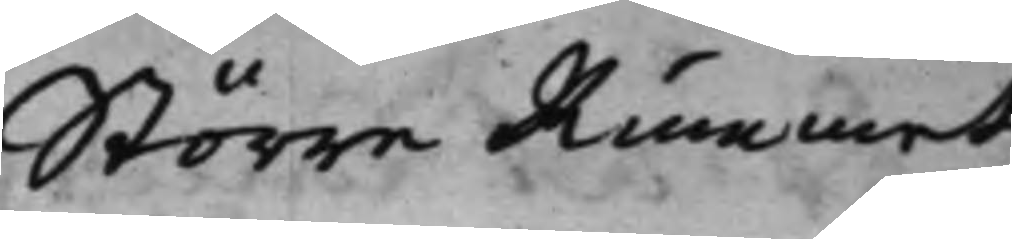Större Rummet.
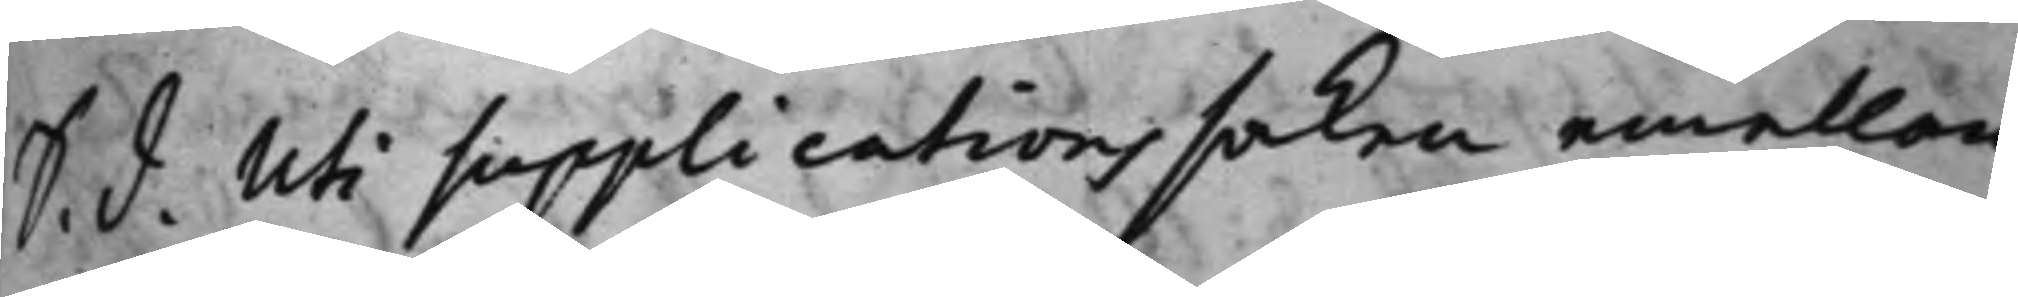S. d. Uti supplications saken emellan
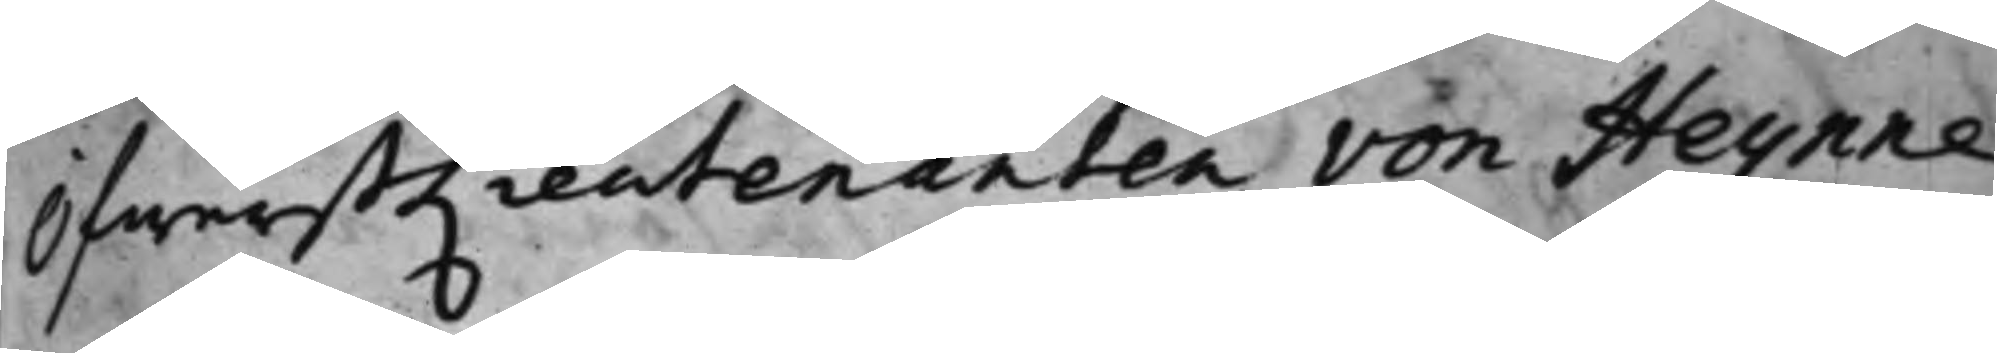ÖfwerstLieutenanten von Heynne
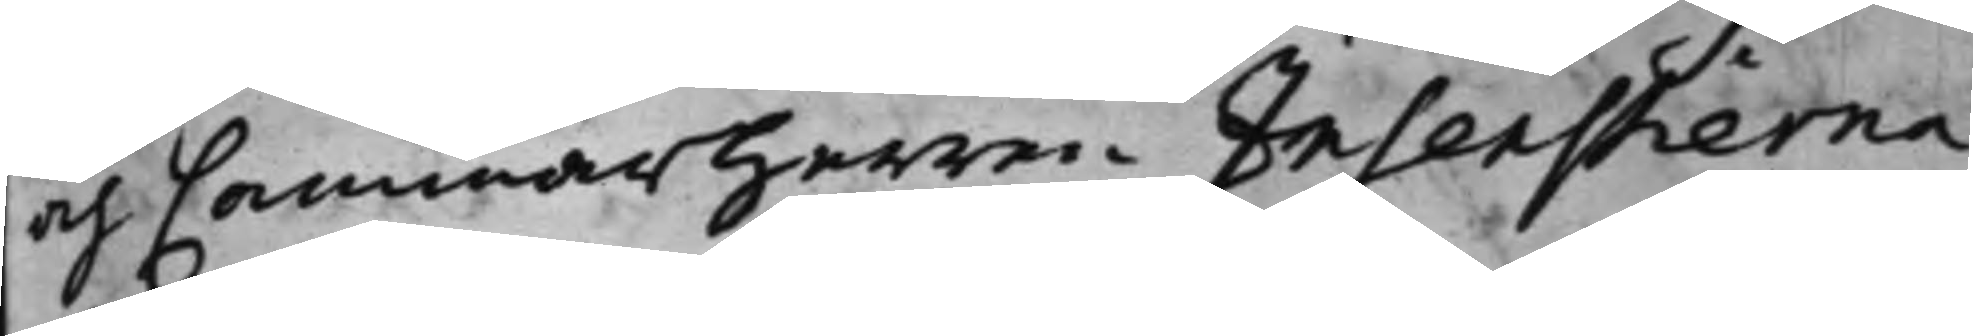och Cammarherren Insenstierna
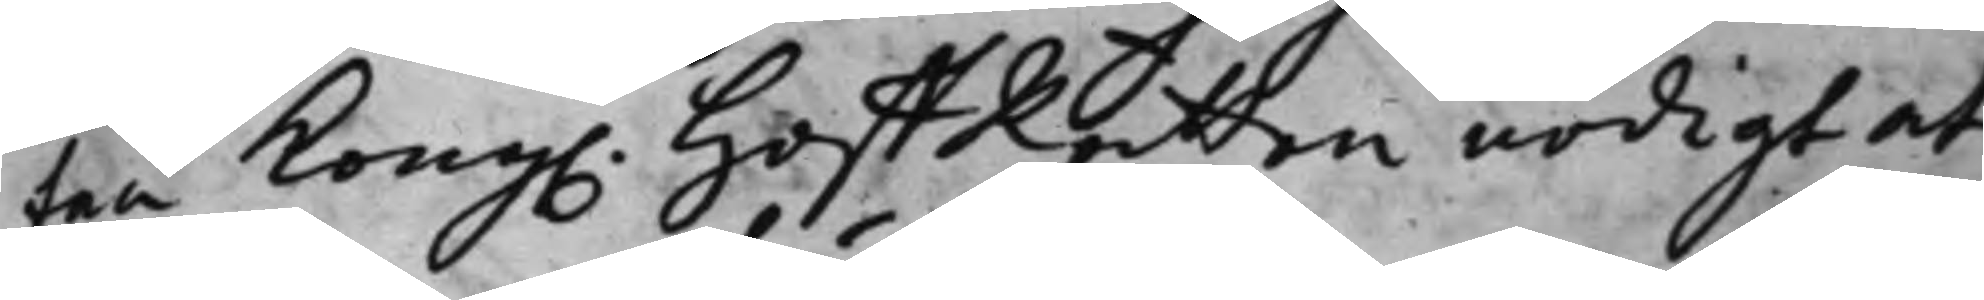fan Kong. HoffRätten nödigt at
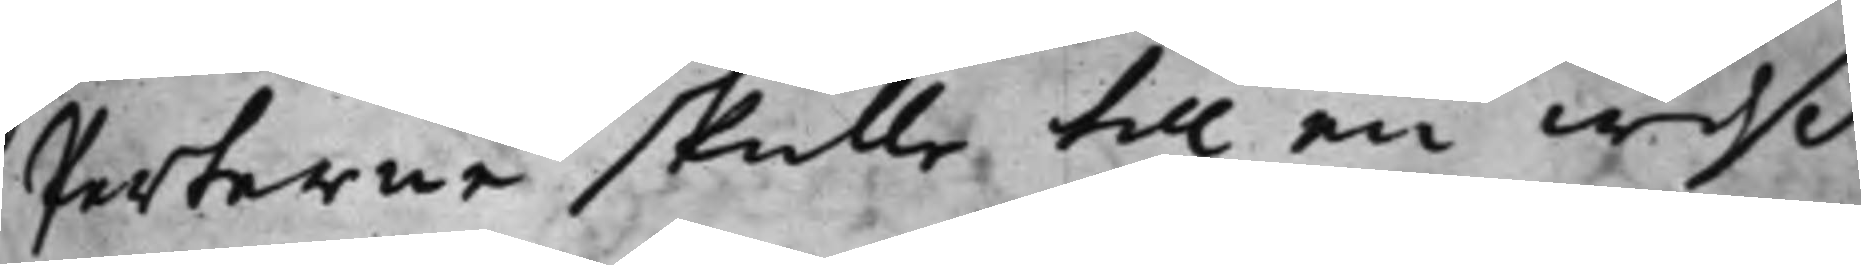Parterne skulle till en wiß
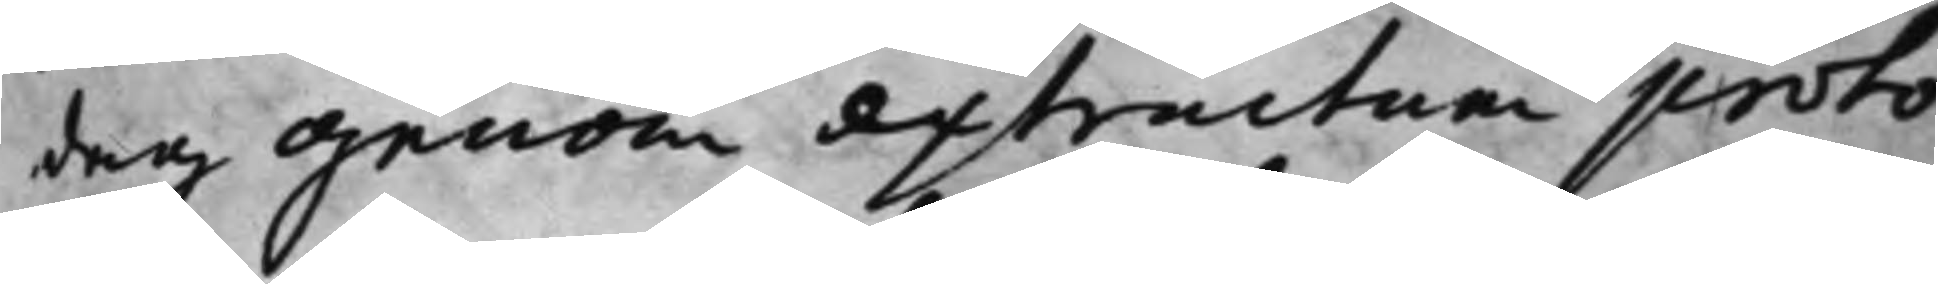dag genom extractum proto¬
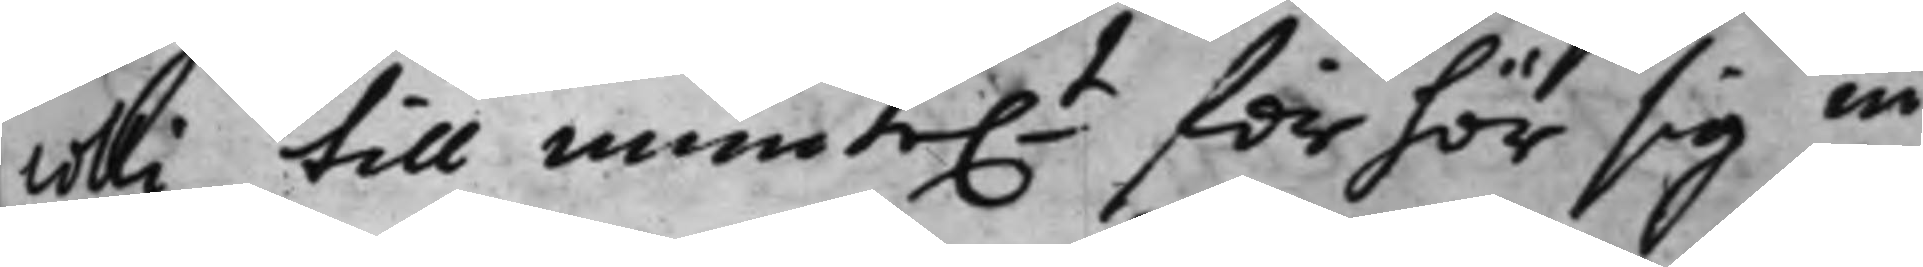colli till muntet förhör sig in¬
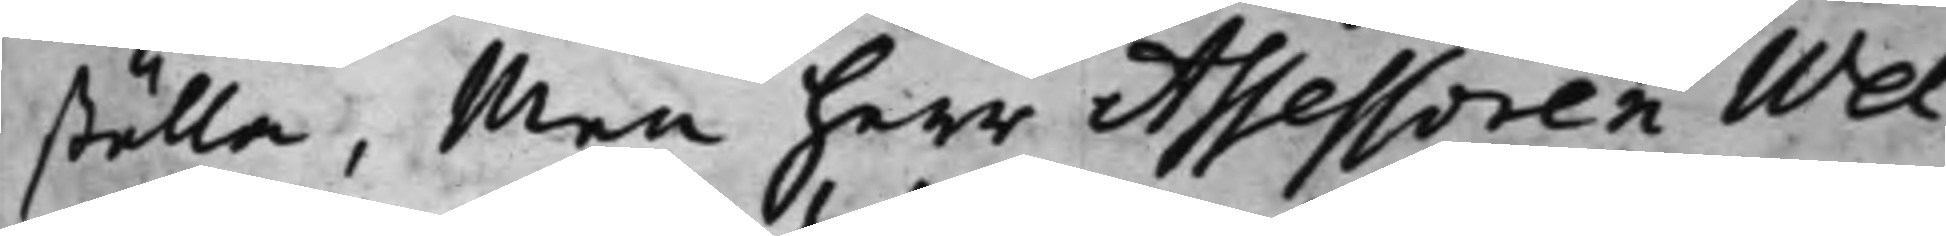ställa, Men herr Assessoren Wel¬
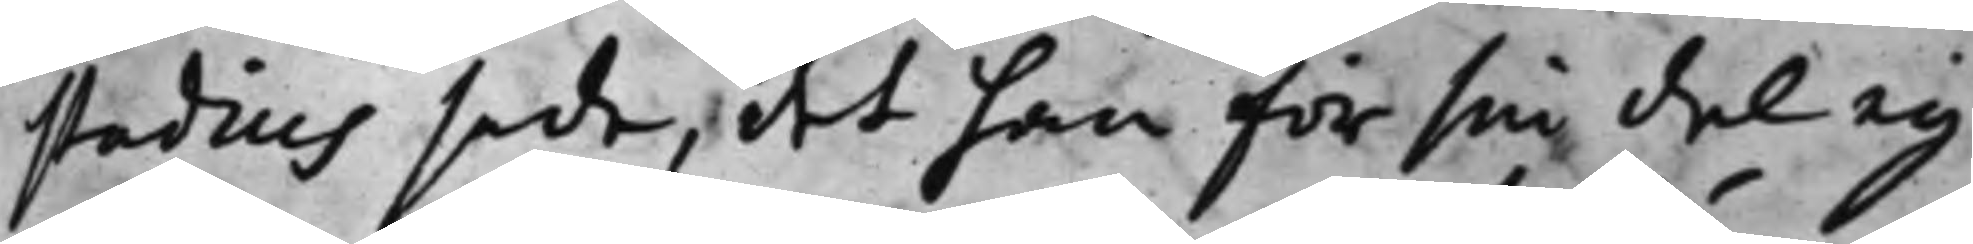stadius sade, det han för sin del ey
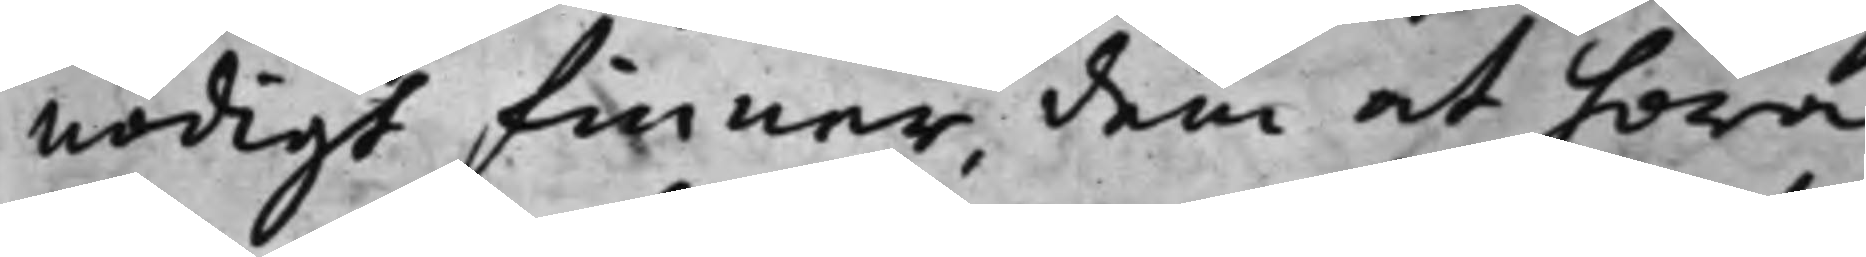nödigt finner, dem at höra,
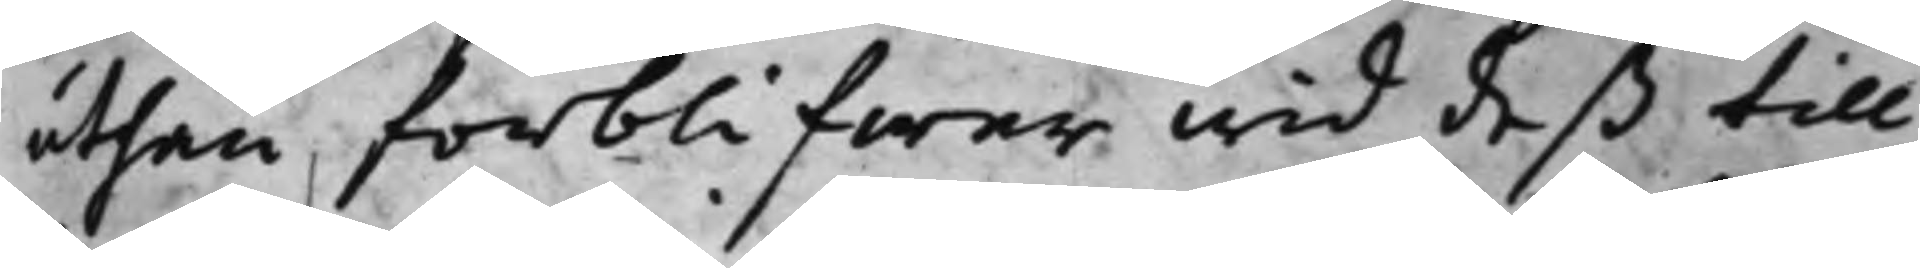uthan forblifwer wid deß till
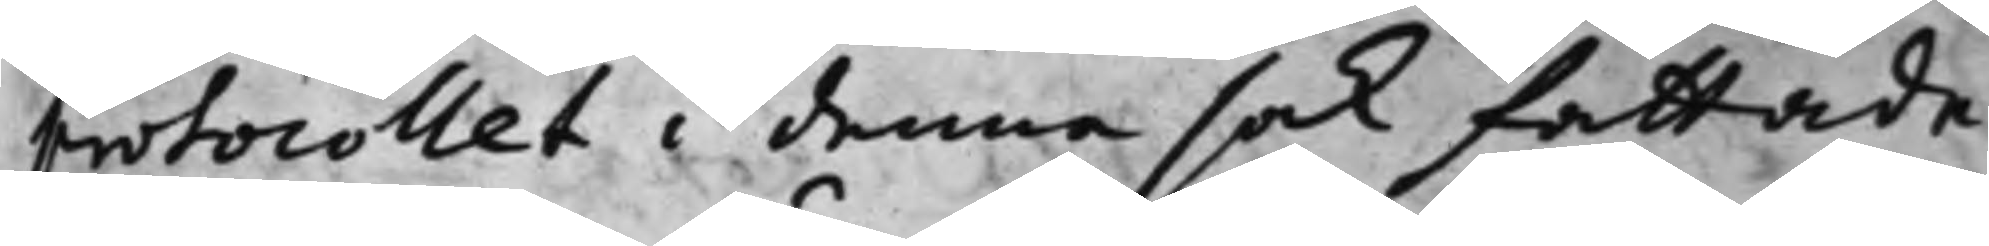protocollet i denna sak fattade
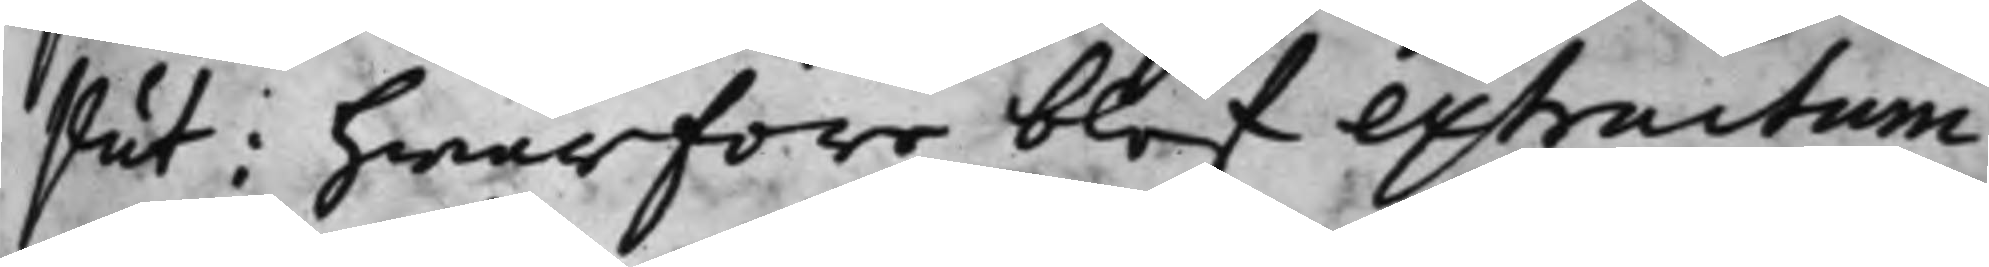slut; hwarföre blef extractum
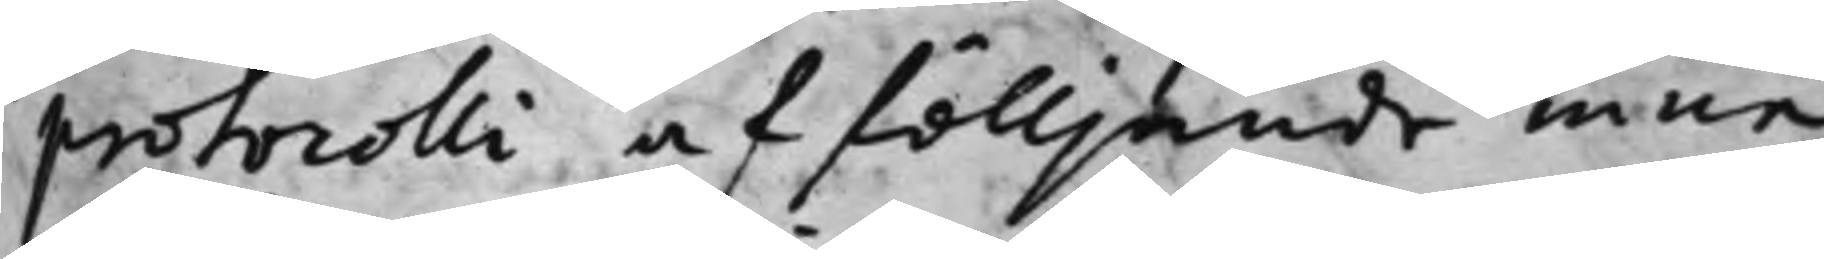protocolli af fölljande inne¬
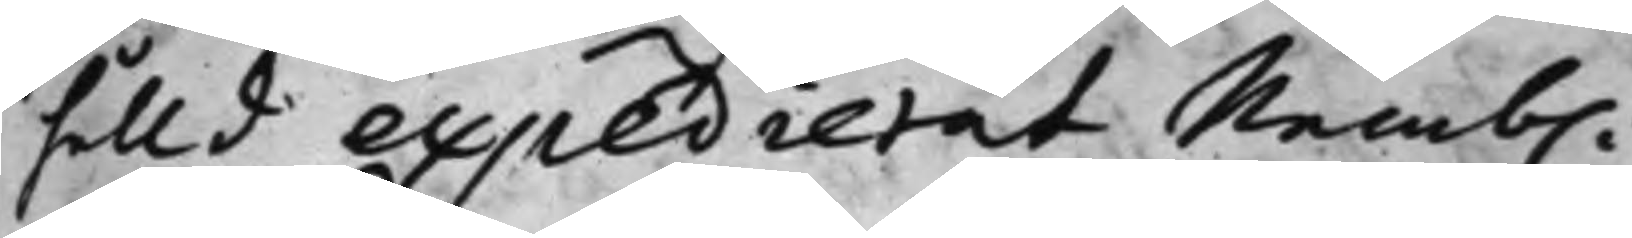hålld expedierat Nemb.
